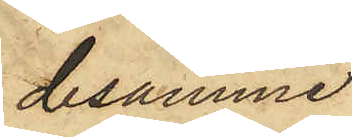desamme
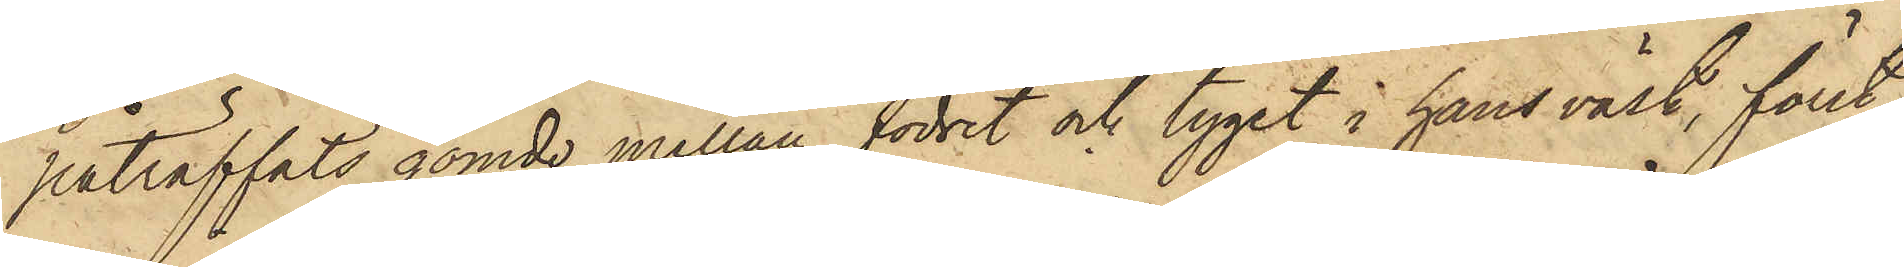påträffats gömde mellan fodret och tyget i hans väst, först
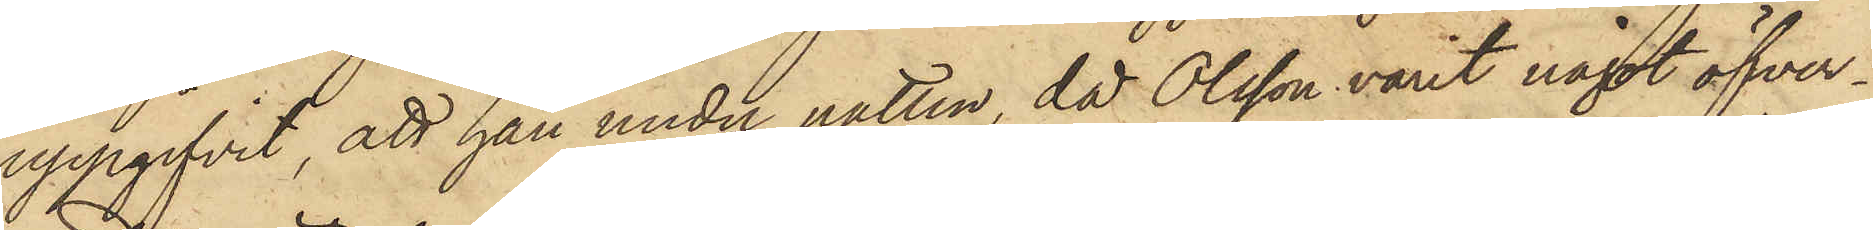uppgifvit, att han under natten, då Olsson varit något öfver¬
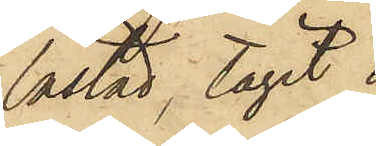lastad, tagit
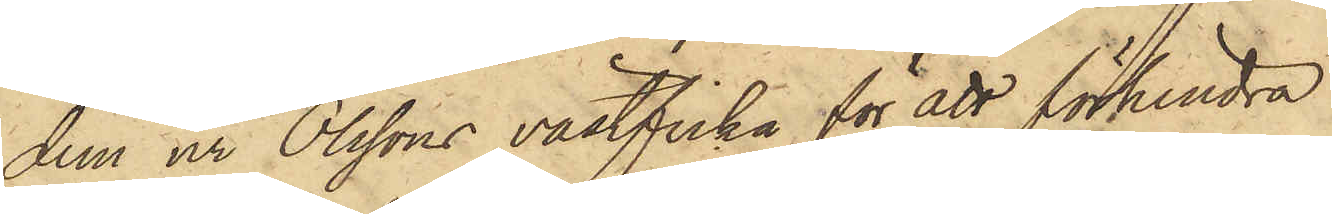dem ur Olssons västficka för att förhindra
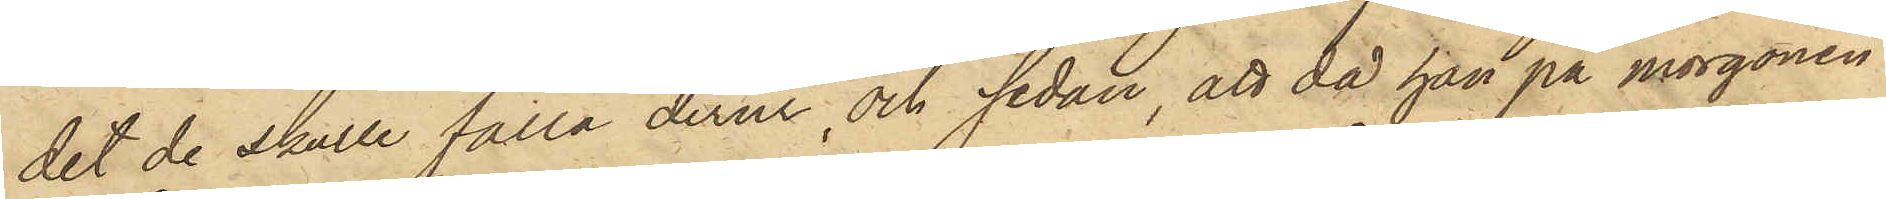det de skulle falla derur, och sedan, att då han på morgonen
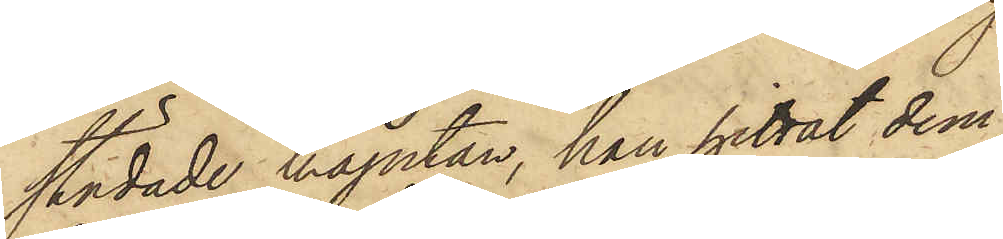städade kajutan, han hittat dem
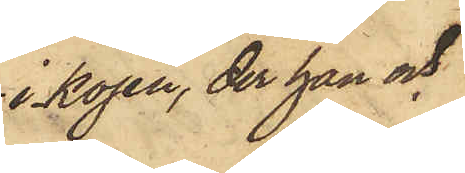i kojen, der han och
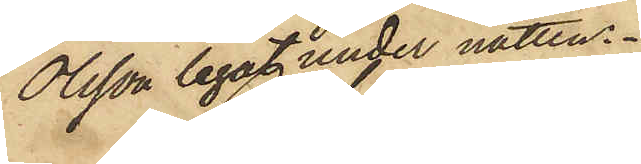Olsson legat under natten.
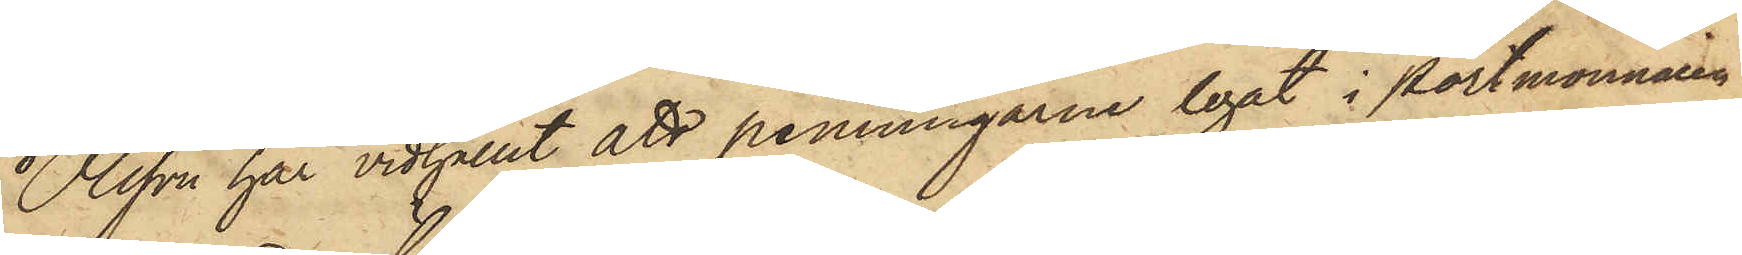Olsson har vidhållit att penningarne legat i portmonnaien
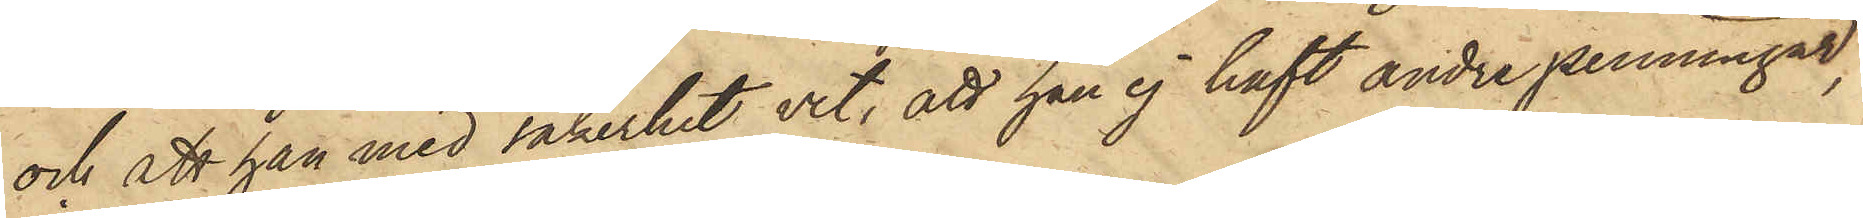och att han med säkerhet vet, att han ej haft andre penningar,
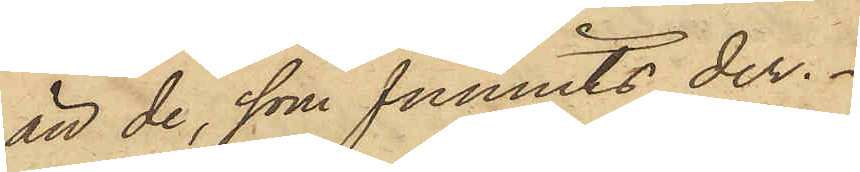än de, som funnits der.
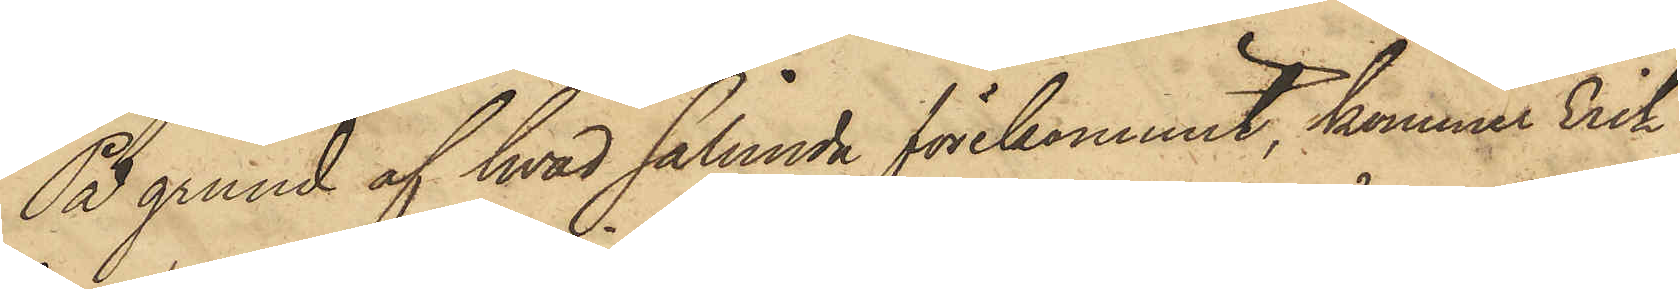På grund af hvad sålunda förekommit, kommer Erik
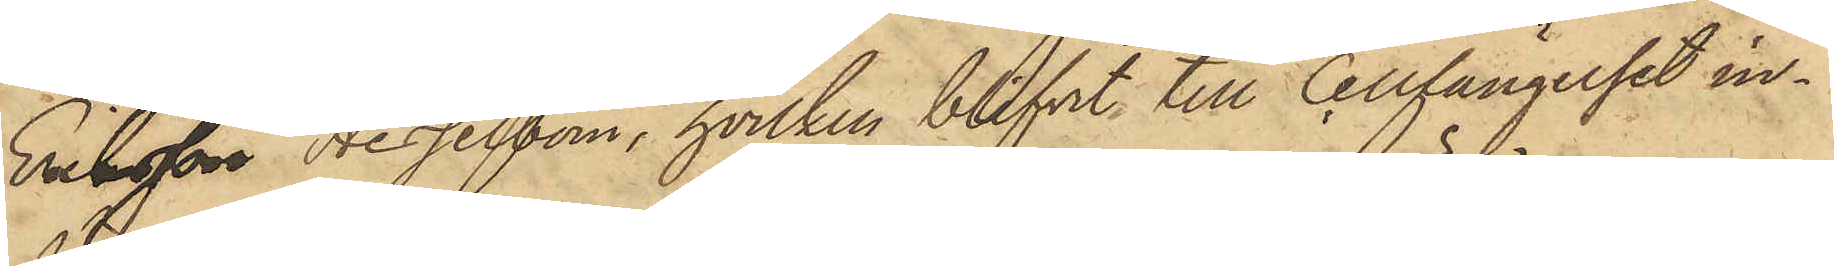Eriksson Hesselbom, hvilken blifvit till Cellfängelset in¬
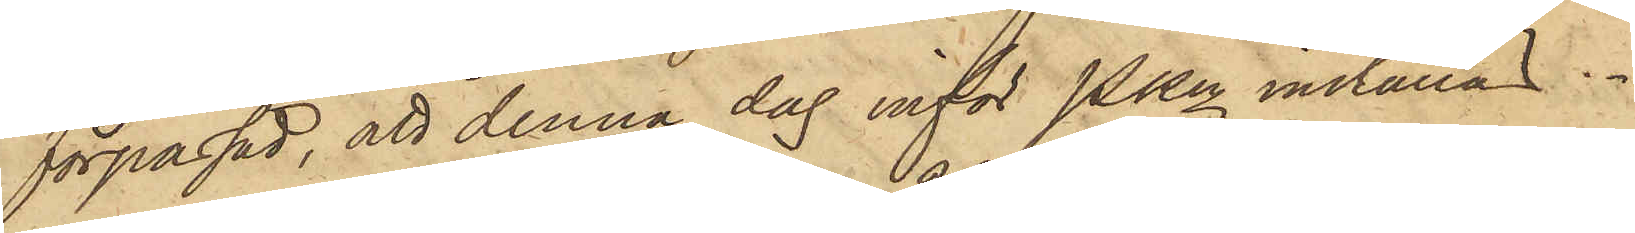förpassad, att denna dag inför Pkn inställas.
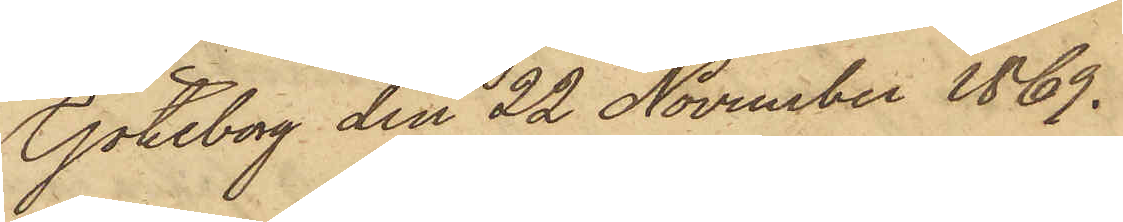Göteborg den 22 November 1869.
